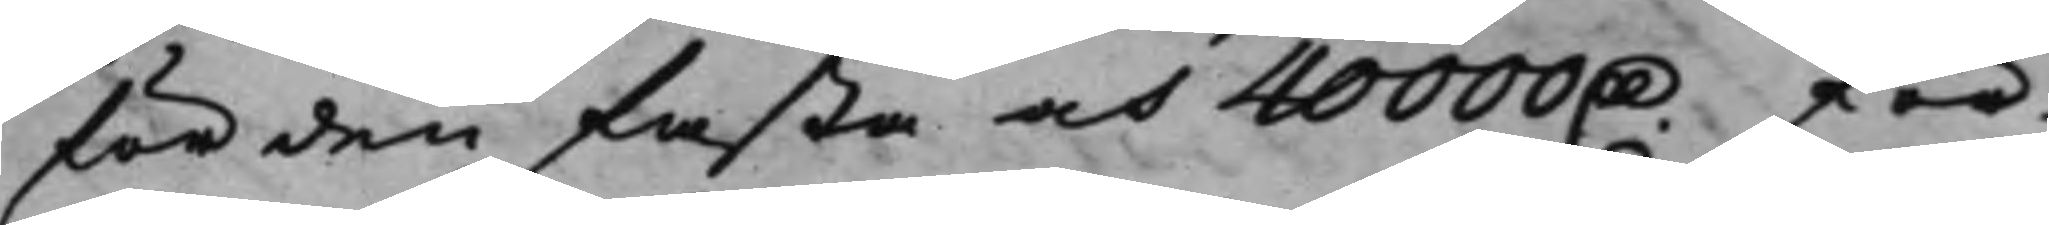för den fasta och 40000 D. för 
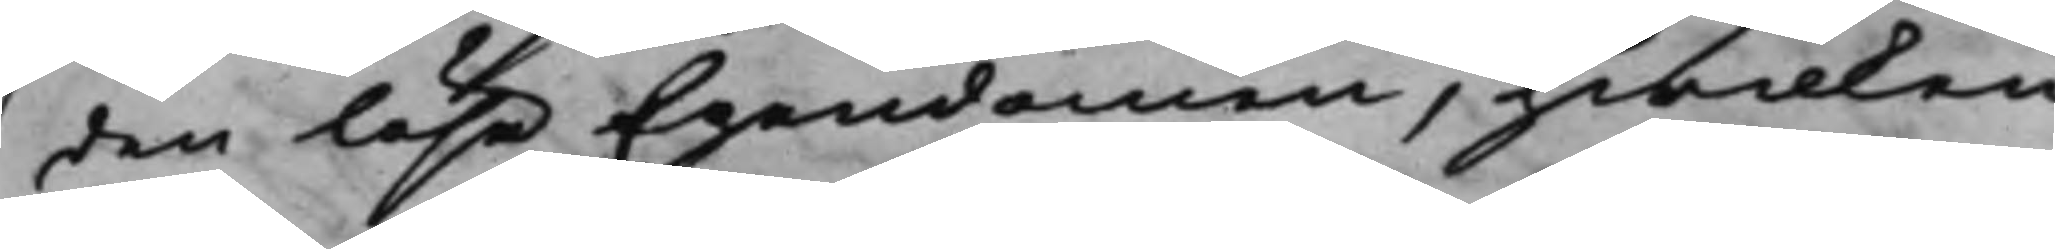den lösa Egendomen, hwilken
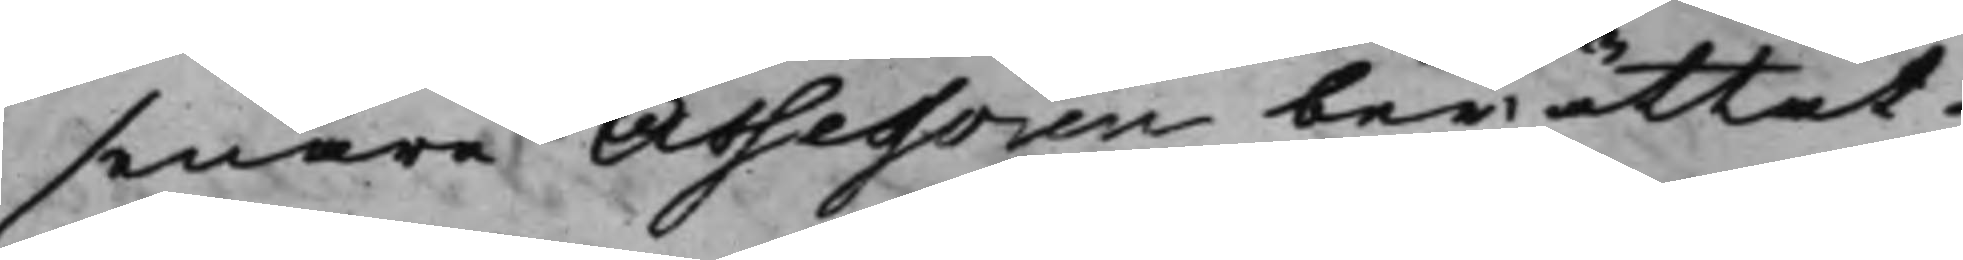senare Assessoren berättat
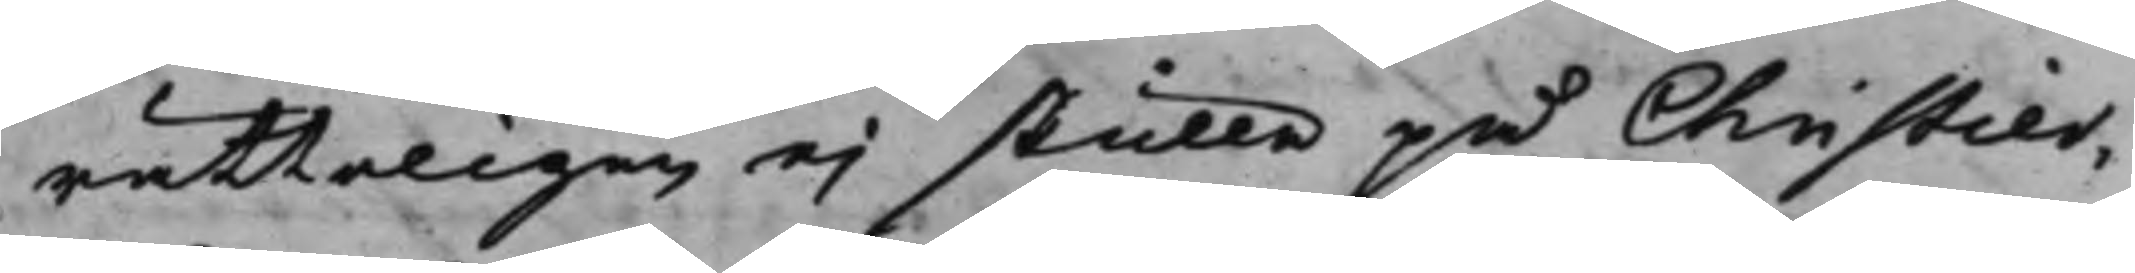rätteligen ej skulle på Christier¬
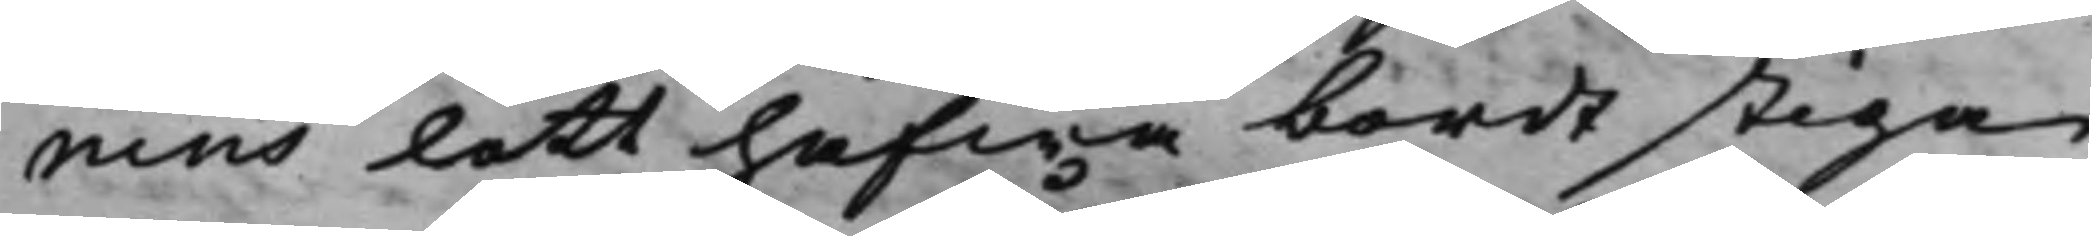nins lott hafwa bordt stiga
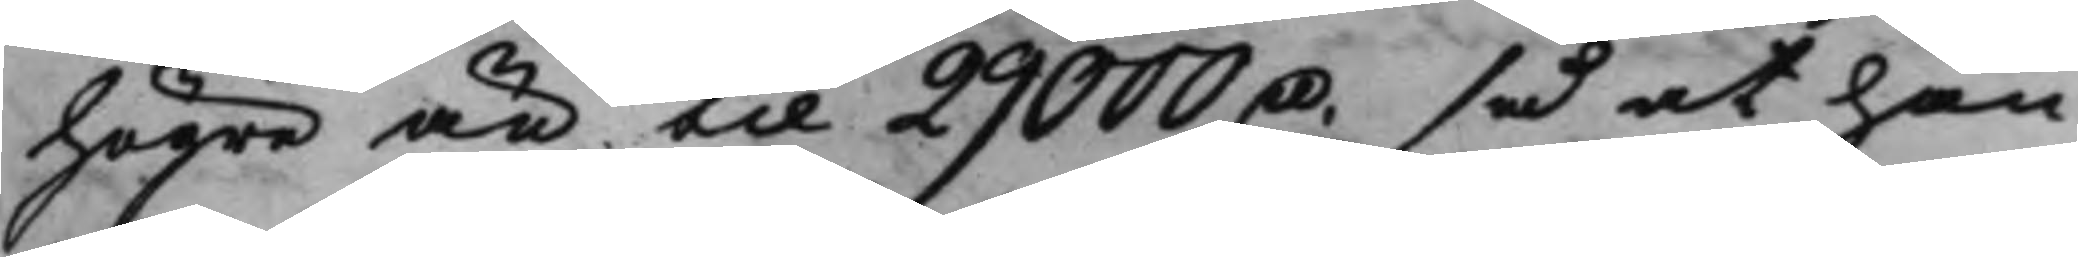högre än til 29000 D. så at han 
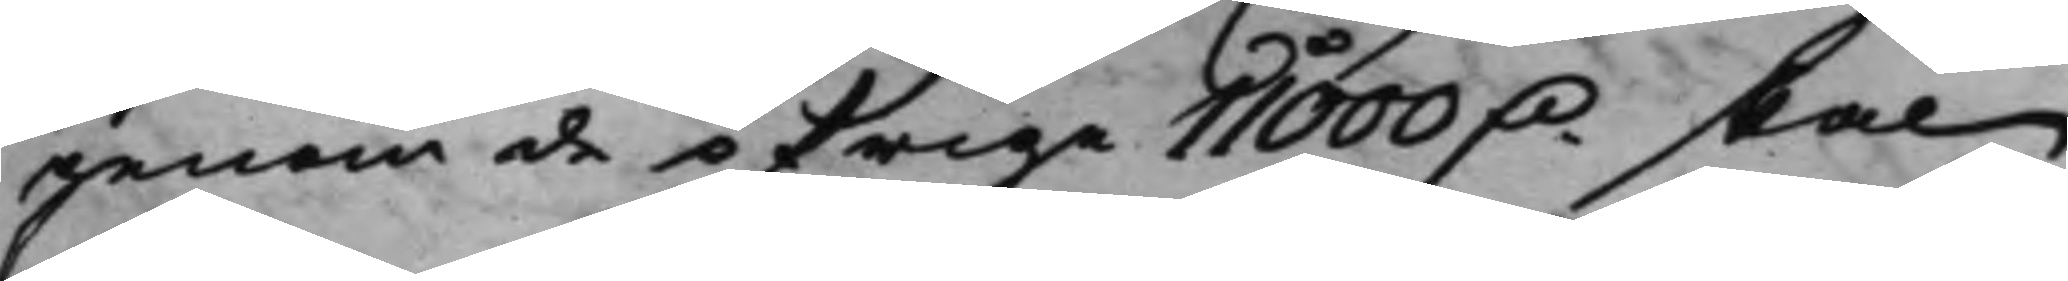genom de öfrige 11000 D. skal 
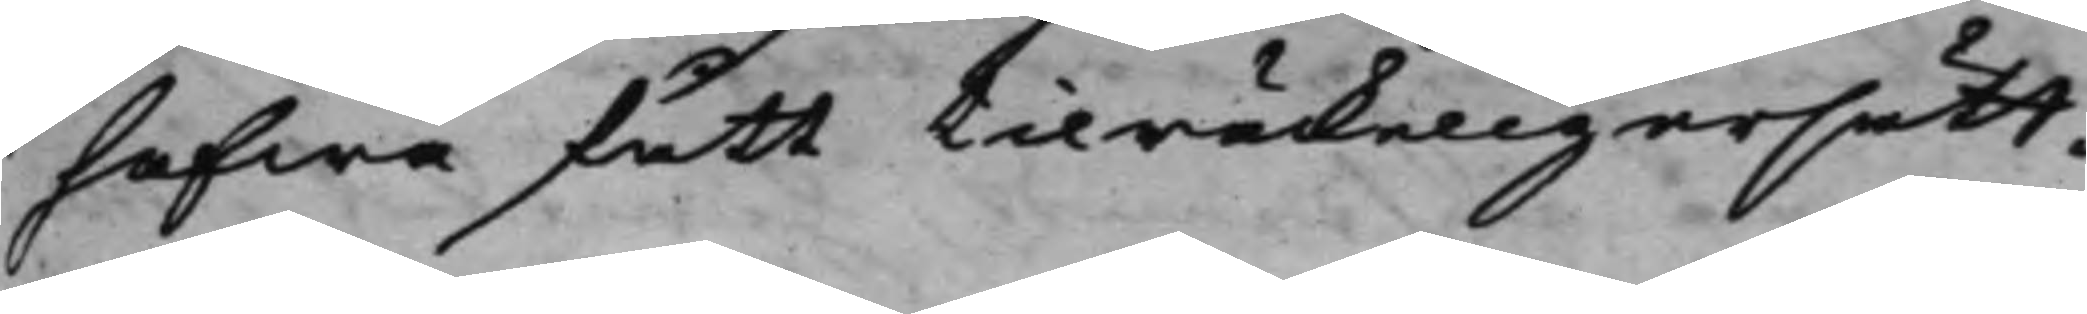hafwa fått tilräckelig ersätt¬
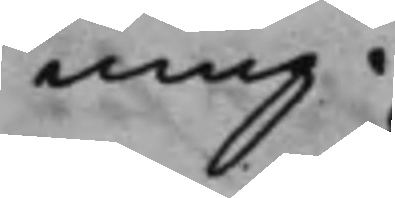ning.
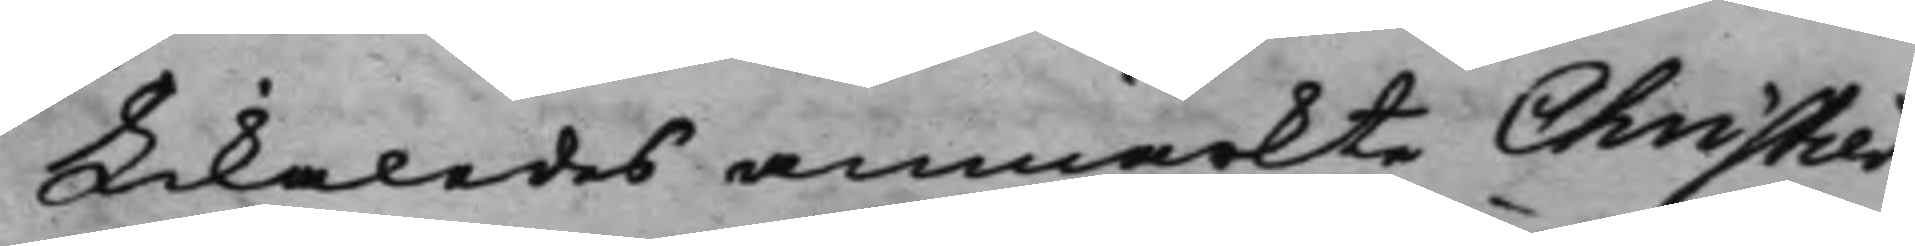Likaledes anmärkte Christier¬
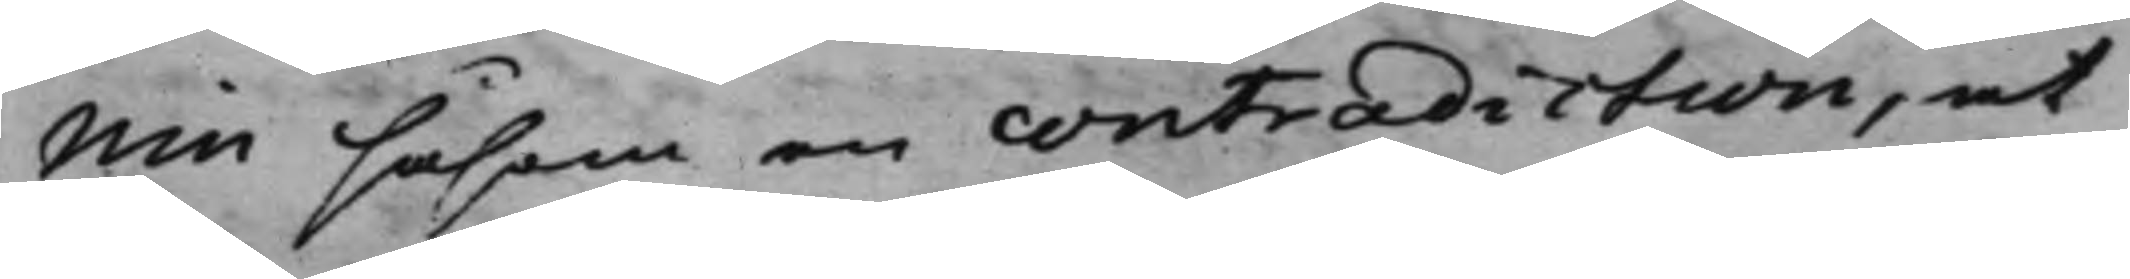nin såsom en contradiction, at
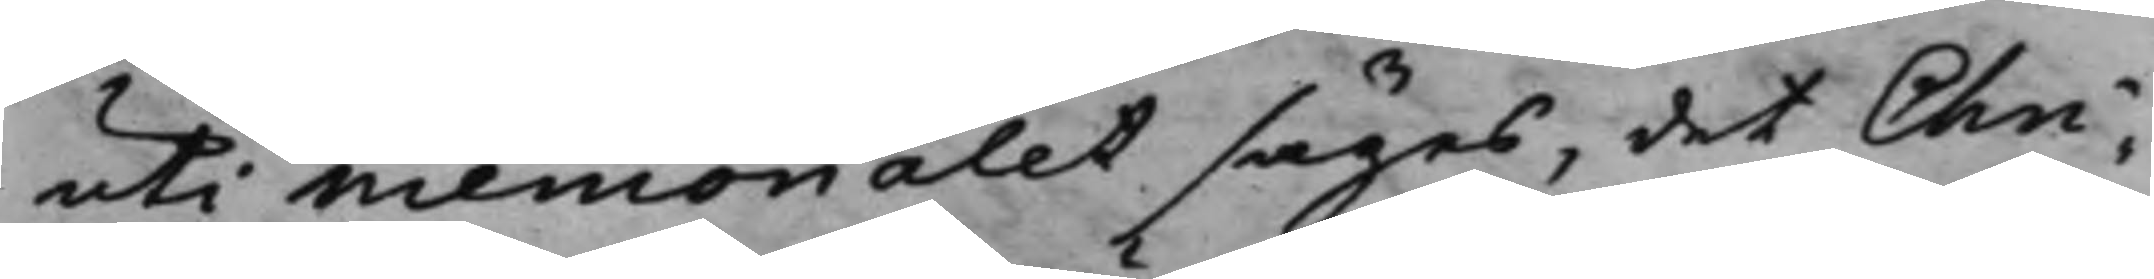uti Memorialet säges, det Chri¬
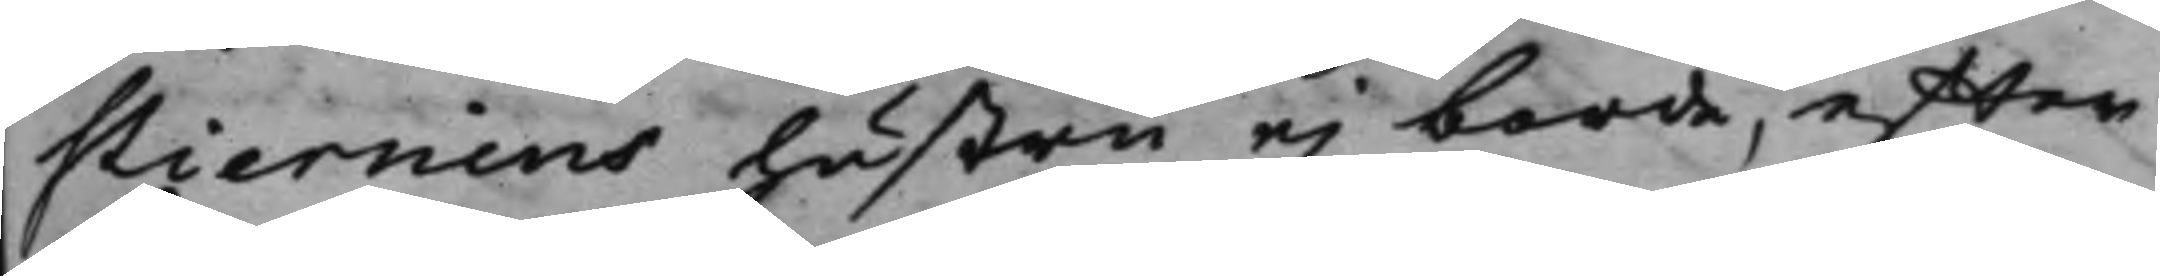stiernins hustru ej borde, efter
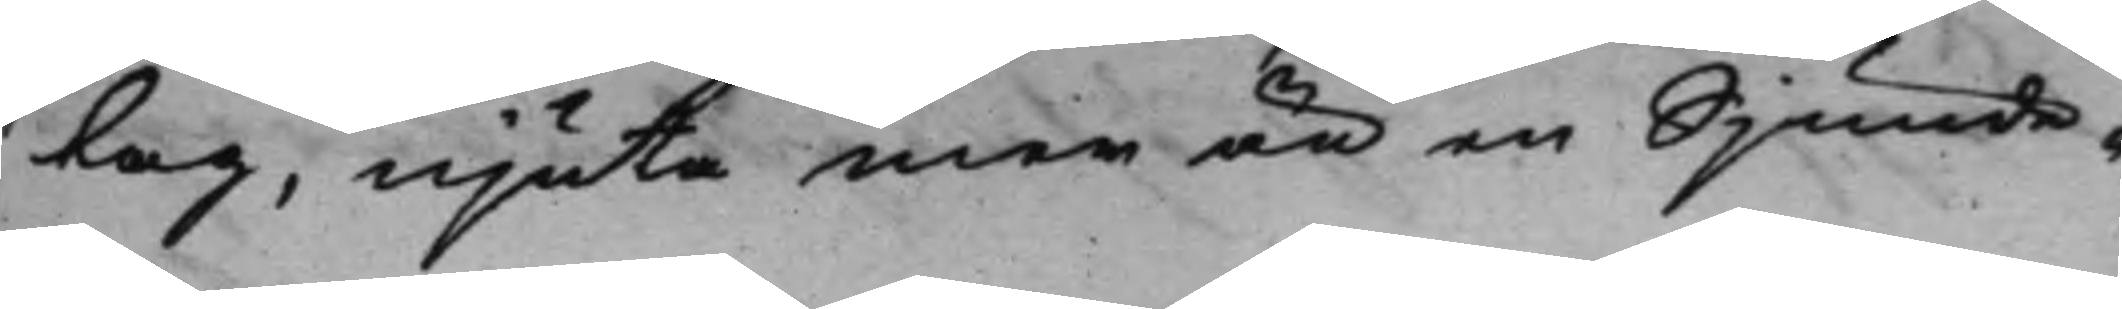Lag, njuta mer än en Sjunde¬
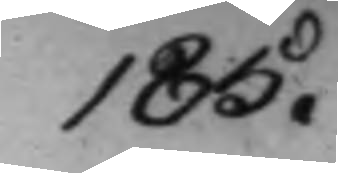185.
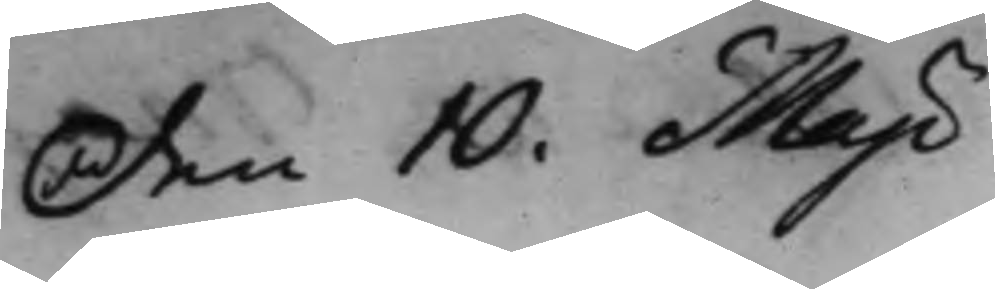den 10 Maji
